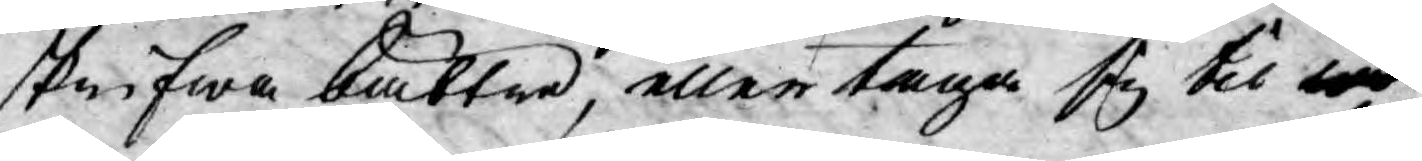skrifwa bättre, eller taga sig til
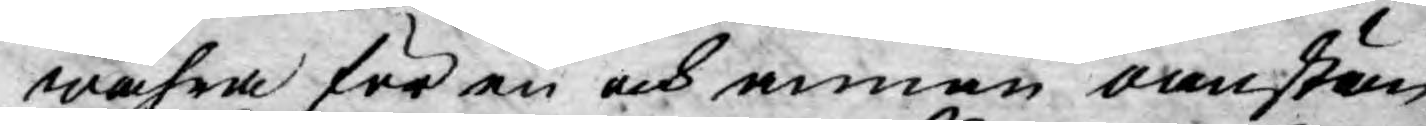wahra för en och annan oanstän¬
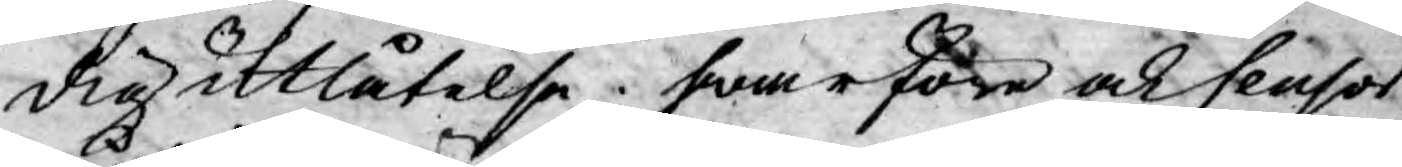dig utlåtelse, hwarföre och Censor
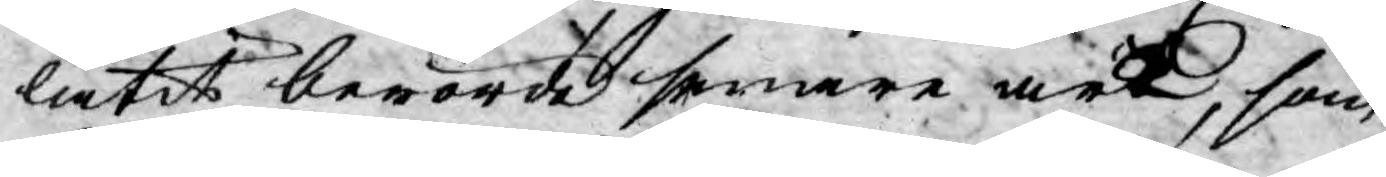låtit berörde senare werk, som
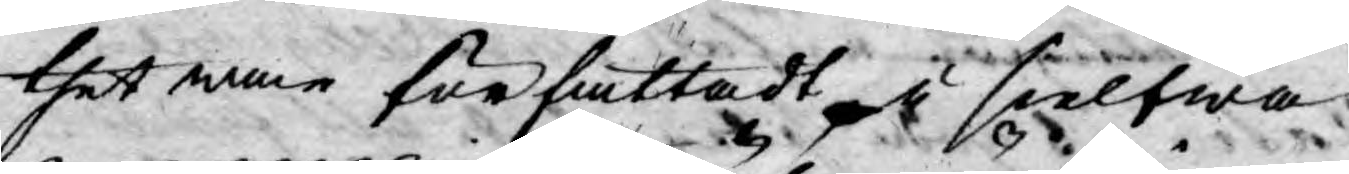thet man författadt i sielfwa
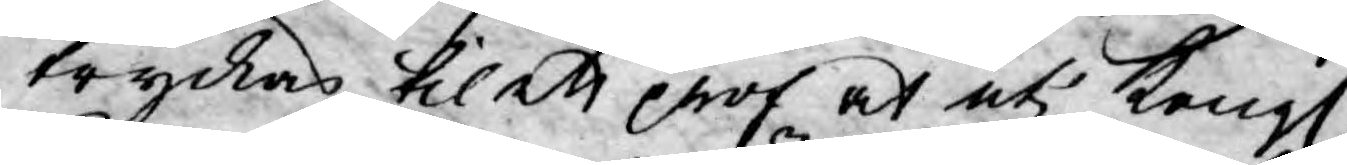tryckas til ett prof at uti Kongl.
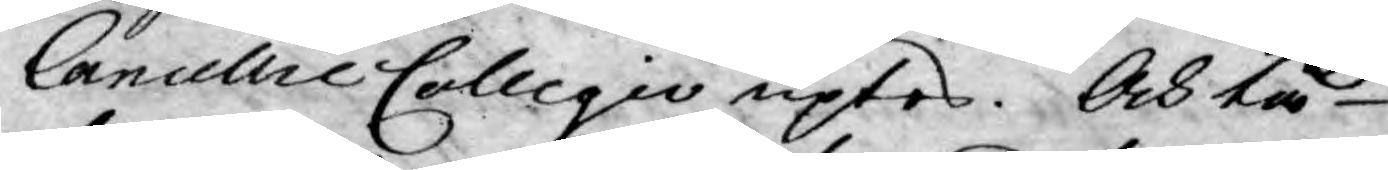Cancellie Collegio uptes. Och tå
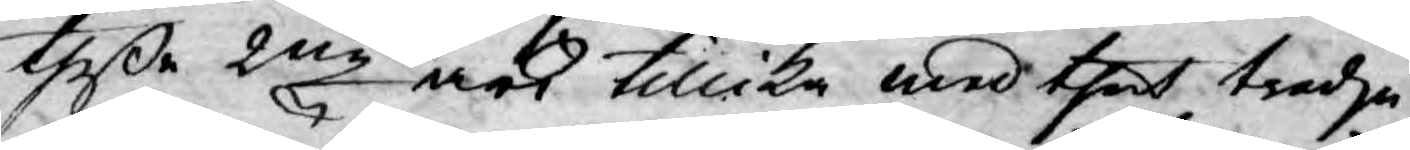theße 2ne  ock tillika med thet tredje
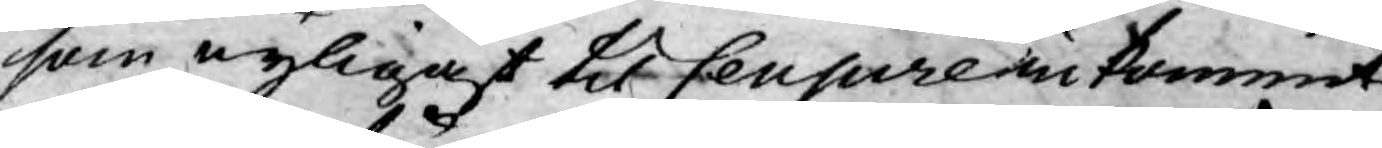som nyligast til Censure inkommit,
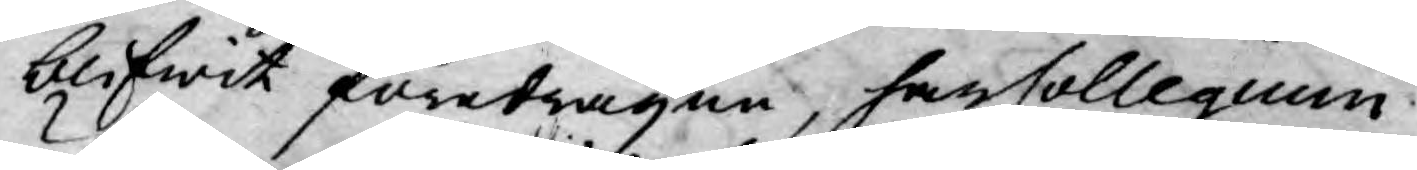blifwit föredragen, har Collegium
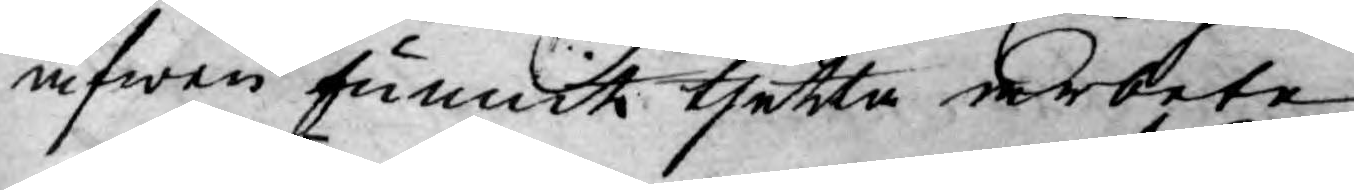äfwen funnit thetta arbete
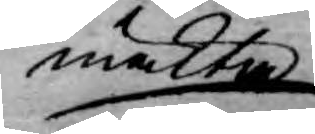mäkta
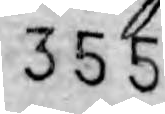355
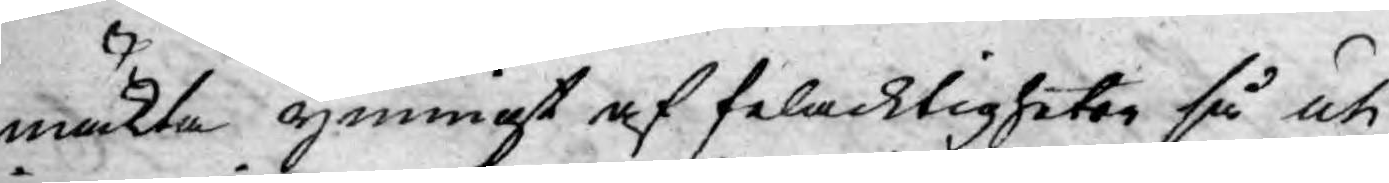mäkta ymnigt af felacktigheter så uti
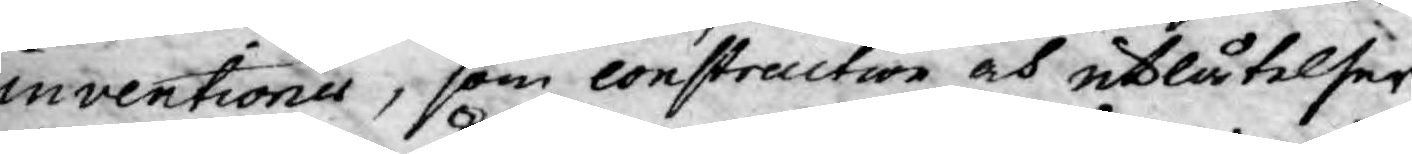inventioner, som construction och utlåtelser,
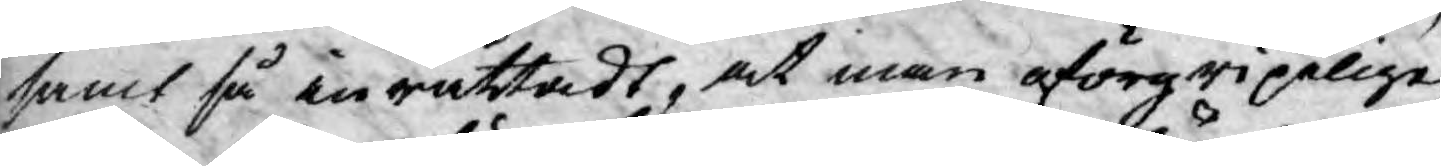samt så inrättadt, at man oförgripeligen
